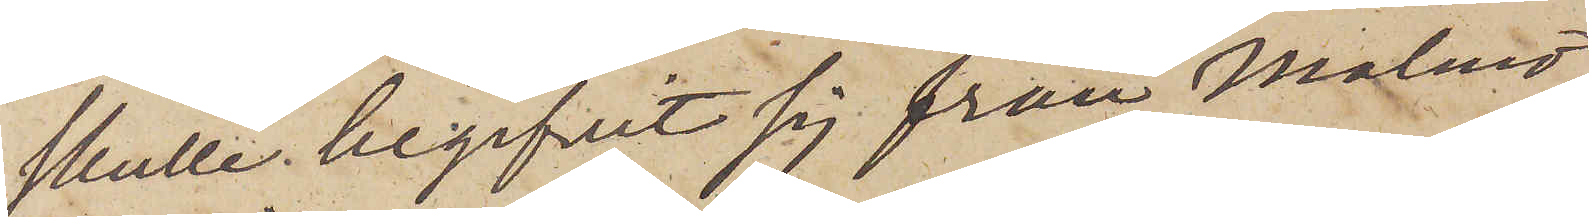skulle begifvit sig från Malmö.
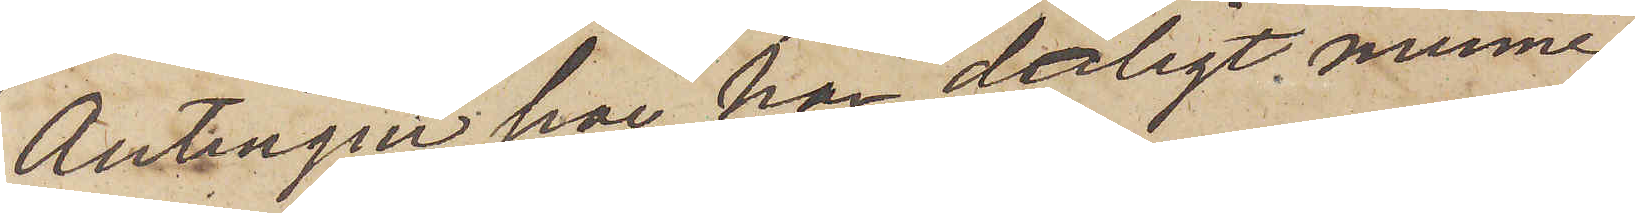Antingen har han dåligt minne
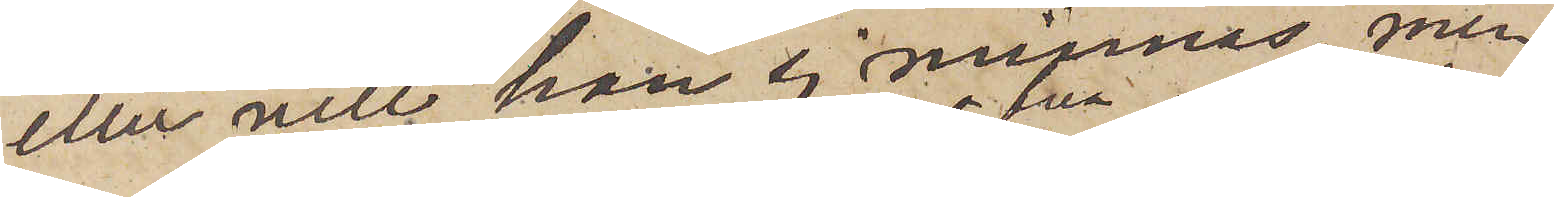eller vill han ej minnas, men
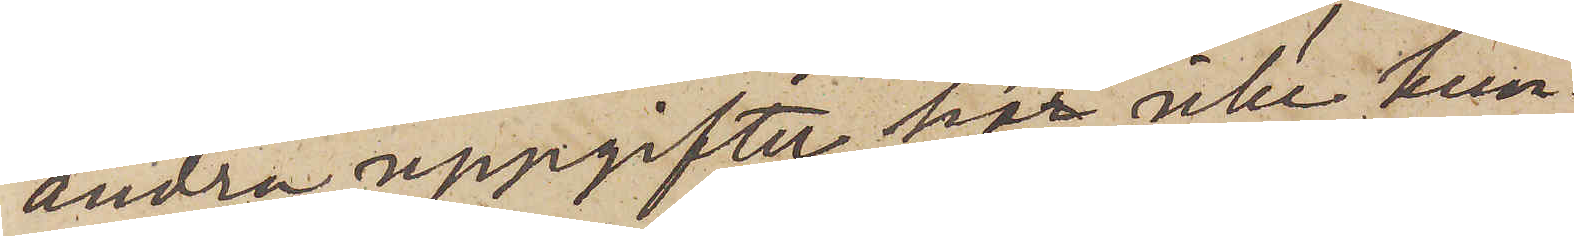andra uppgifter har icke kun¬
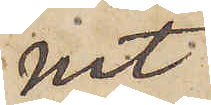nat,
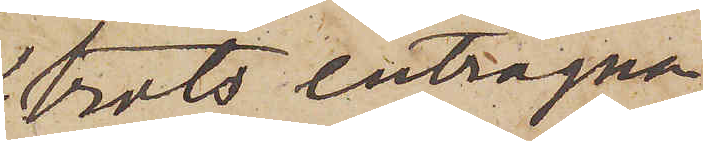trots enträgna
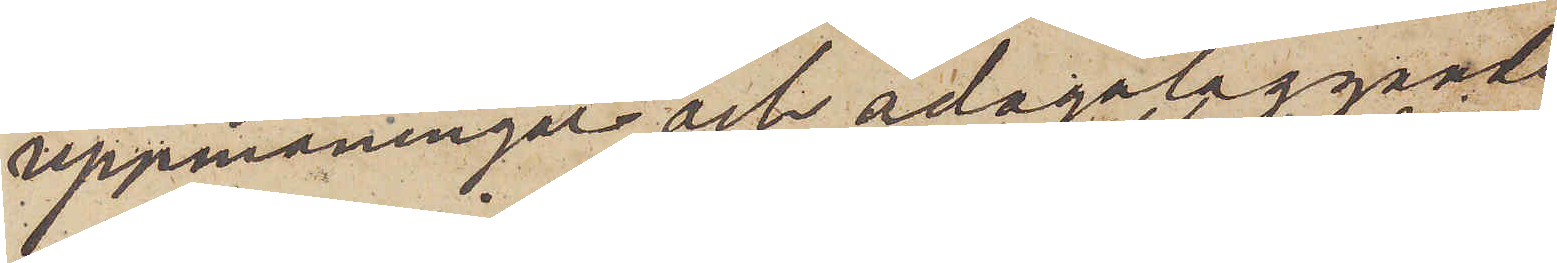uppmaningar och ådagaläggande
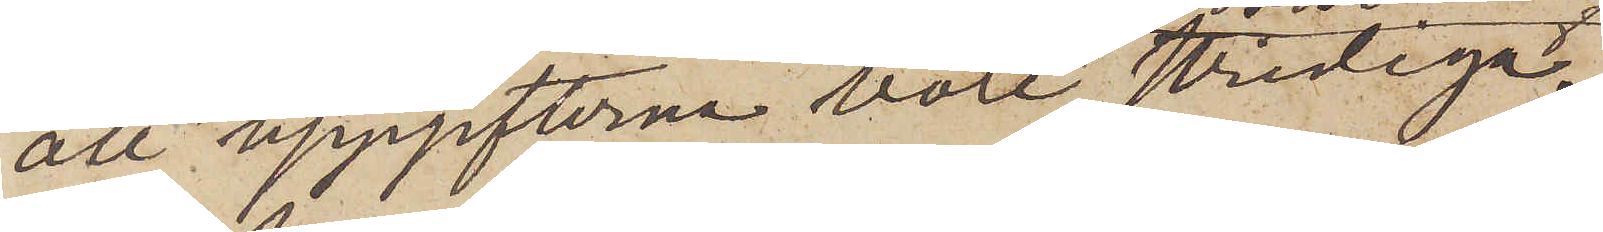att uppgifterna vore stridiga,
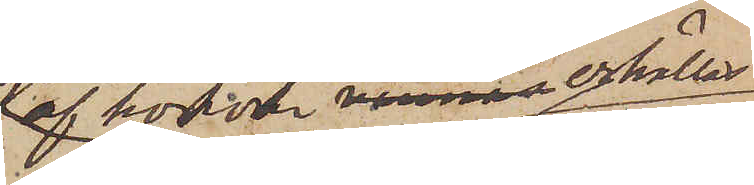af honom erhållas.
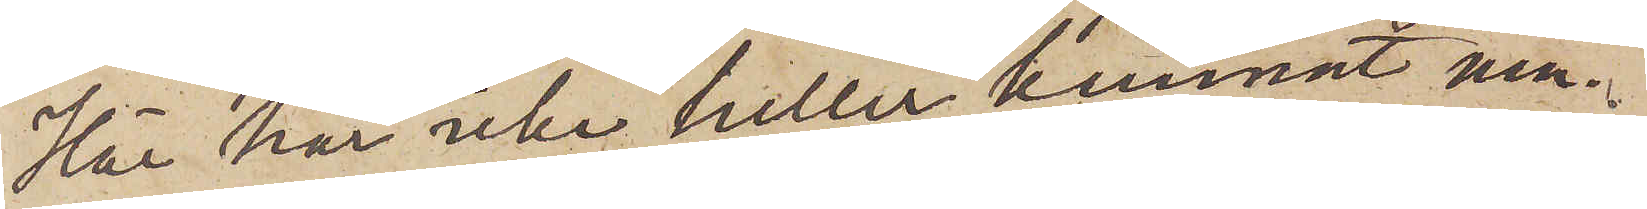Här har icke heller kunnat min¬
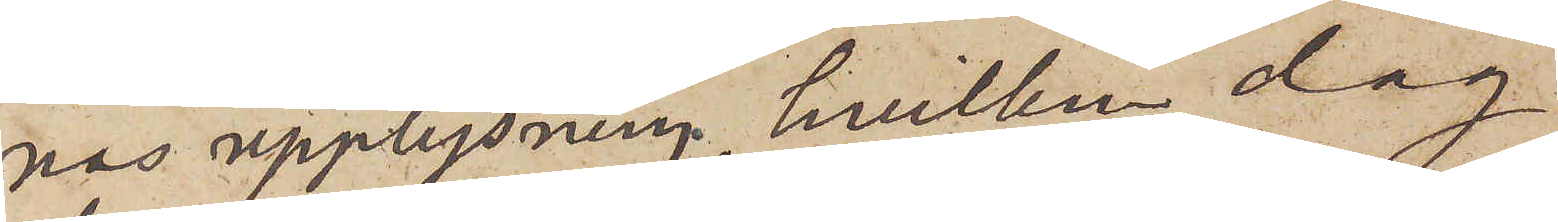nas upplysning, hvilken dag
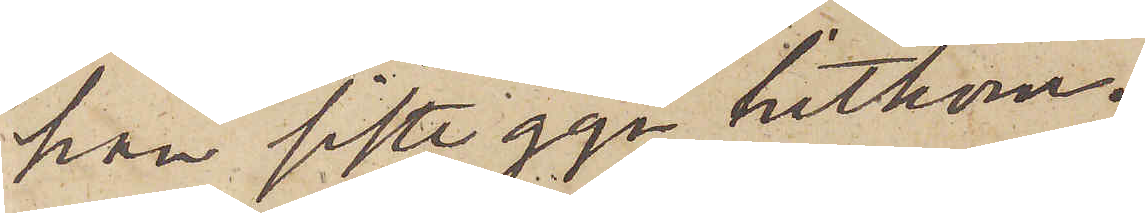han siste ggn hitkom.
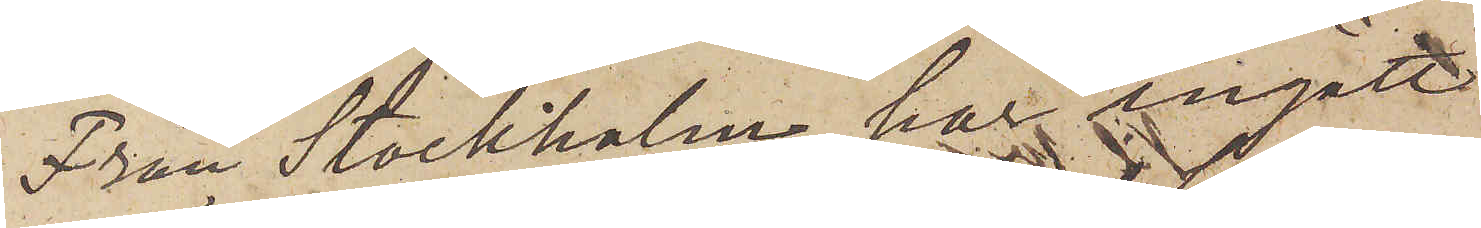Från Stockholm har ingått
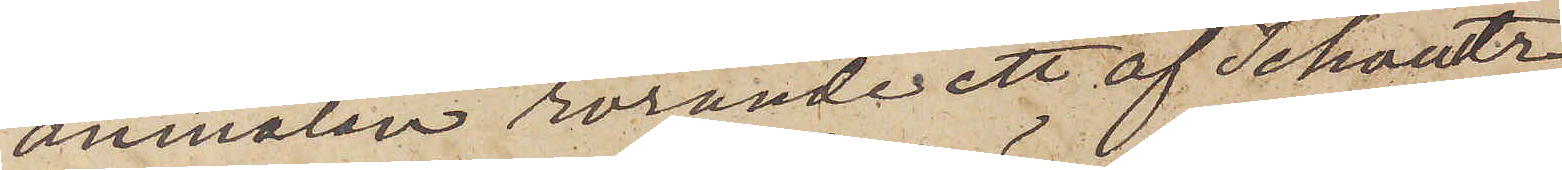anmälan rörande ett af Schoultz
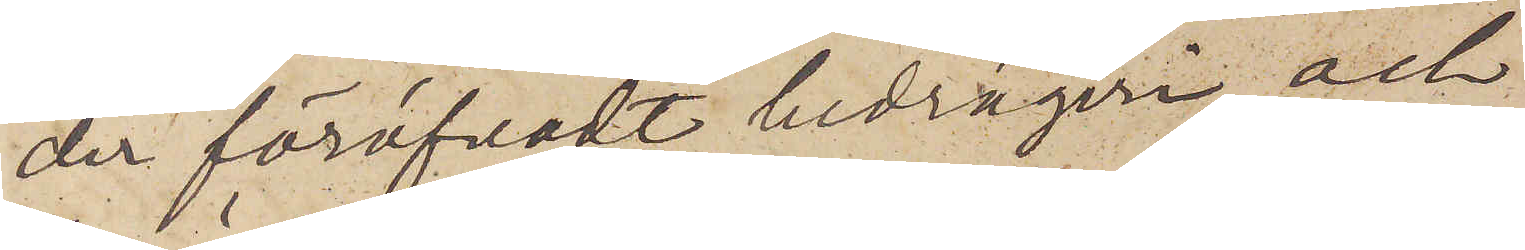der föröfvade bedrägeri och
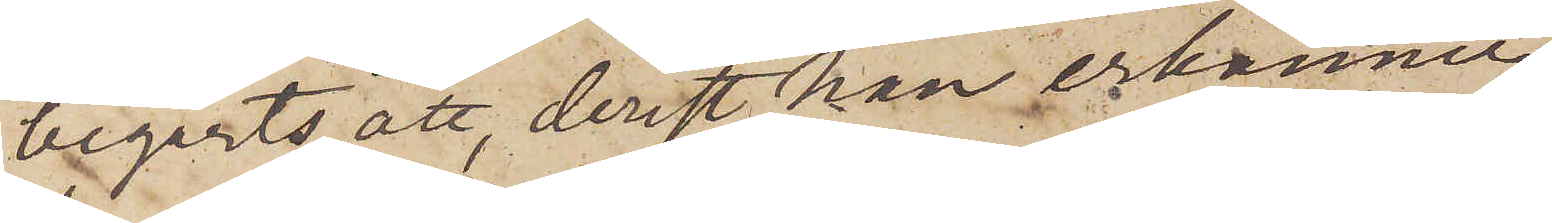begärts att, derest han erkänner,
